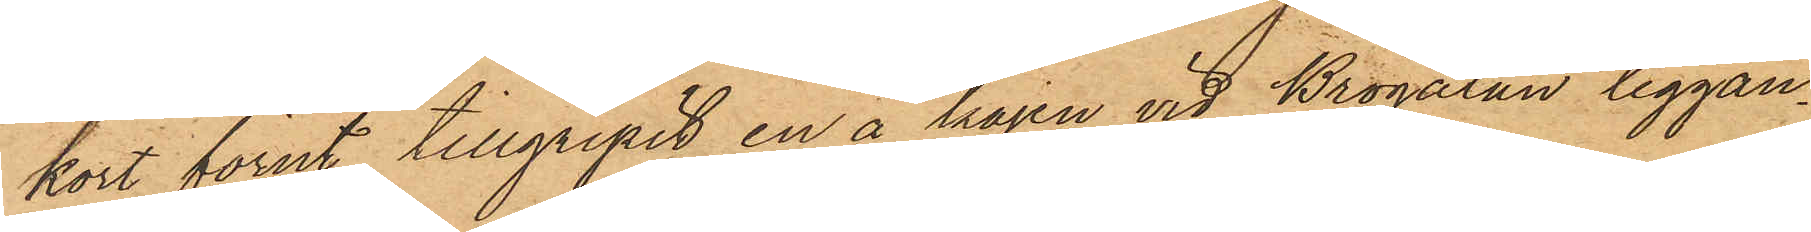kort förut tillgripit en å kajen vid Brogatan liggan¬
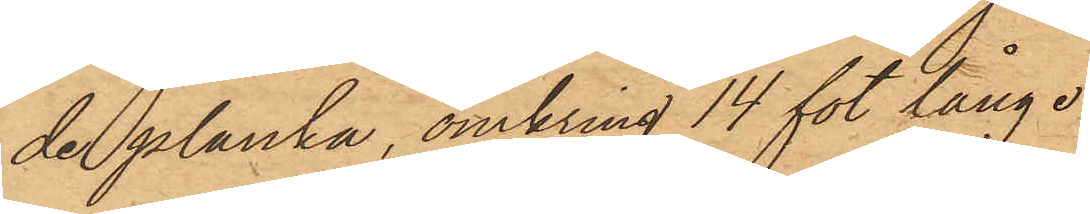de planka, omkring 14 fot lång.
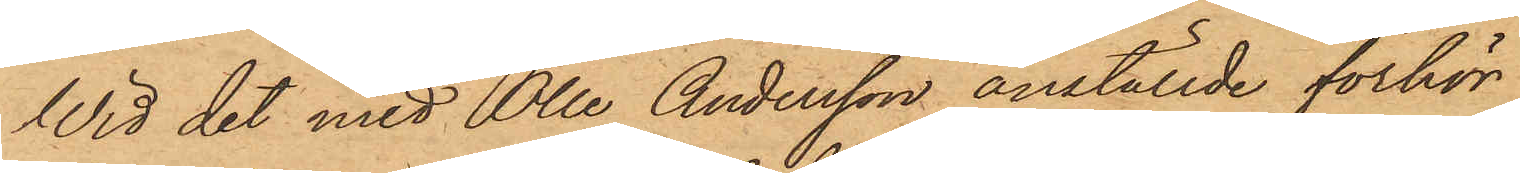Wid det med Olle Andersson anställde förhör
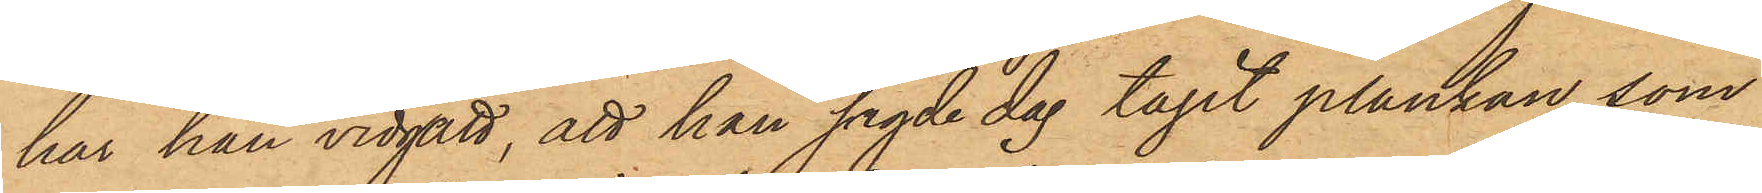har han vidgått, att han sagde dag tagit plankan, som
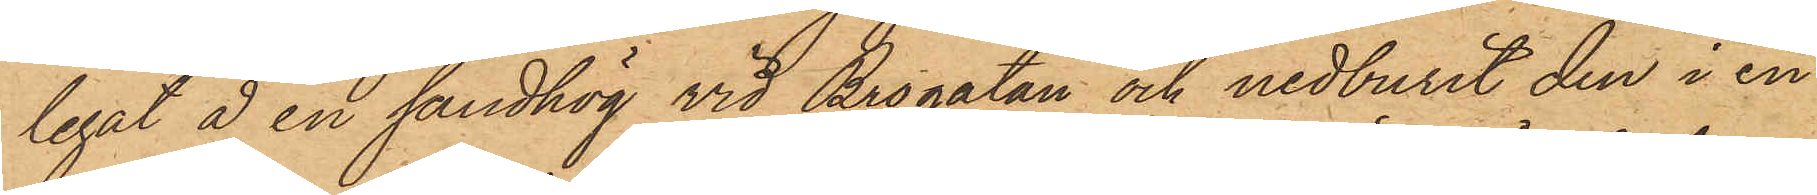legat å en sandhög vid Brogatan och nedburit den i en
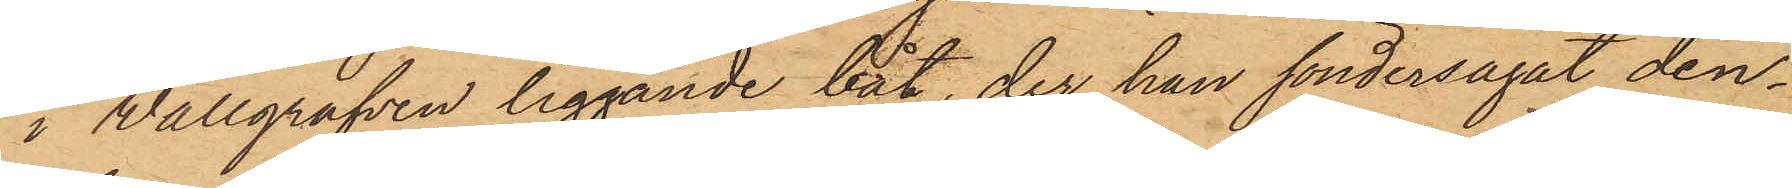i Wallgrafven liggande båt, der han söndersågat den¬
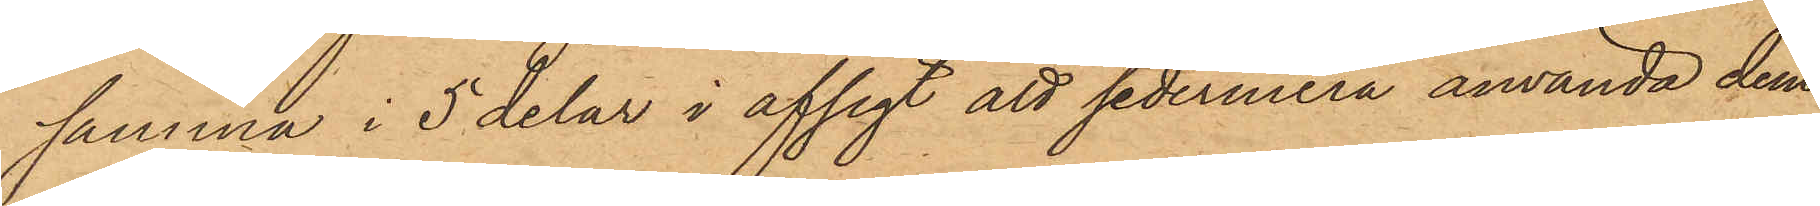samma i 5 delar i afsigt att sedermera använda dem
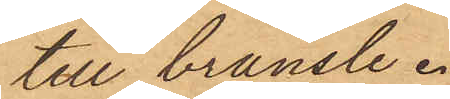till bränsle.
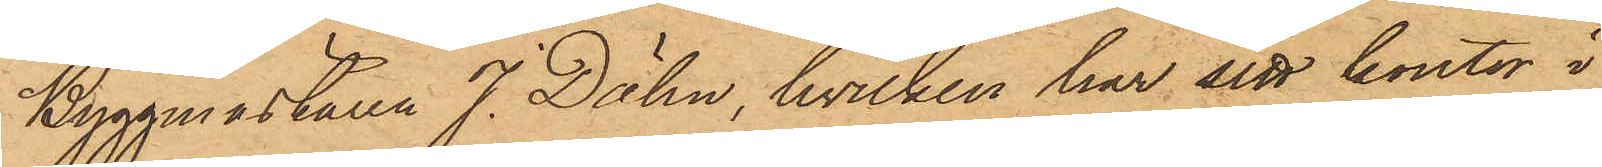Byggmästaren J. Dähn, hvilken har sitt kontor i
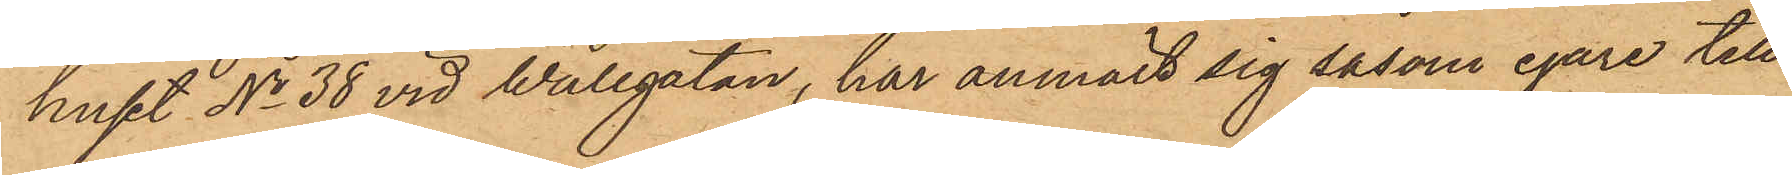huset No 38 vid Wallgatan, har anmält sig såsom egare till
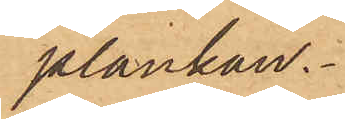plankan.
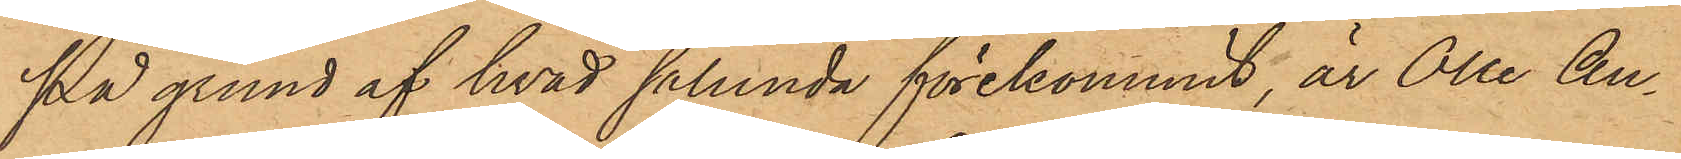På grund af hvad sålunda förekommit, är Olle An¬
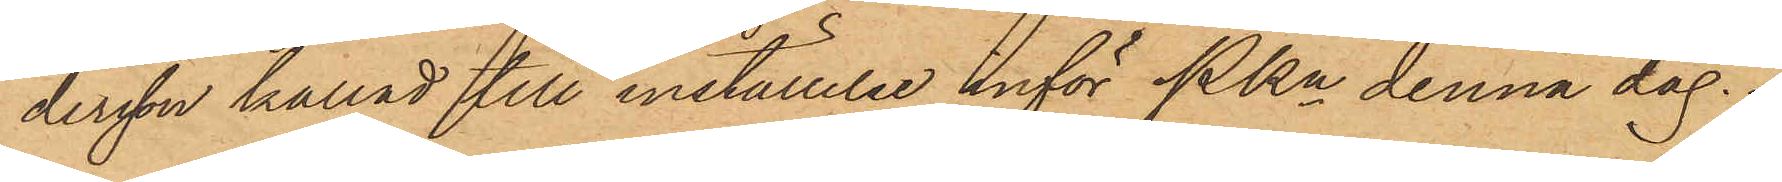dersson kallad till inställelse inför Pkn denna dag.
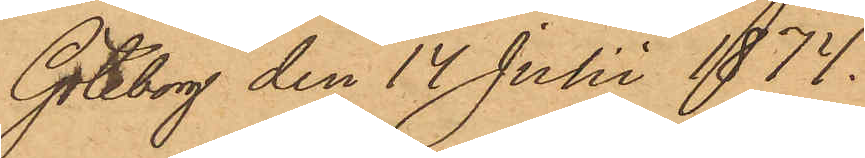Göteborg den 14 Juli 1874.
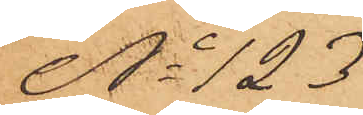No 123
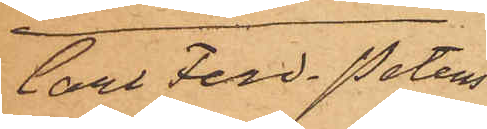Carl Ferd. Peters¬
